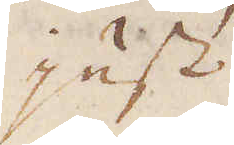just
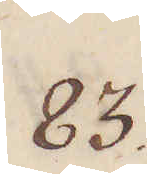83.
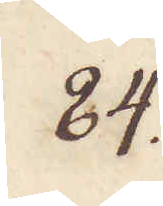84.
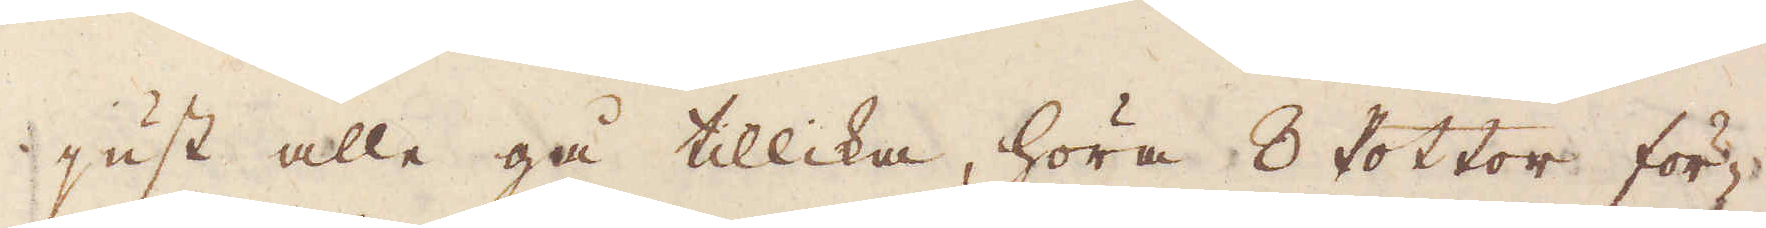just alle gå tillika, höra 8 Pottor för-
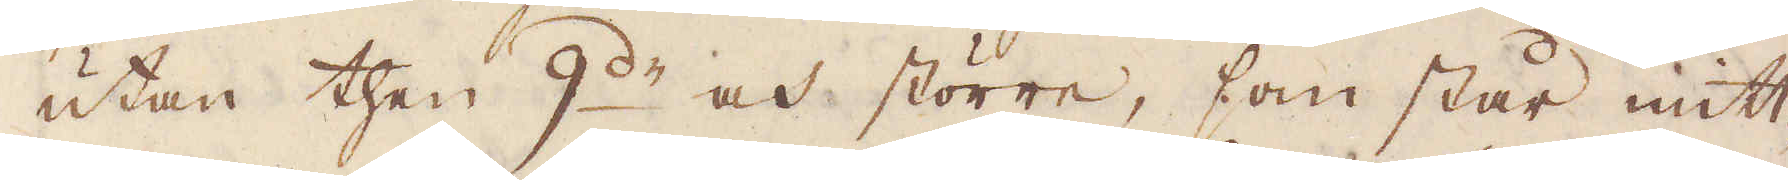utan then 9:de och större, som står mitt-
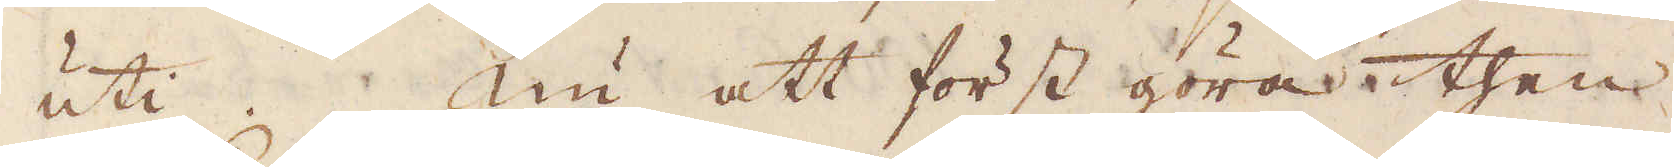uti. Nu att först göra then
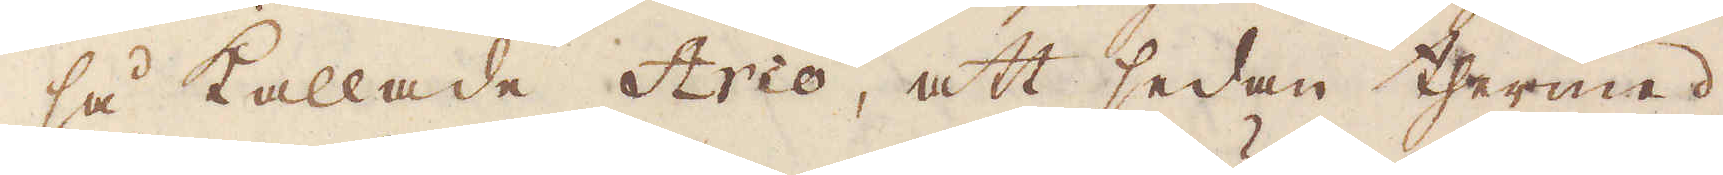så kallade Arco, att sedan thermed
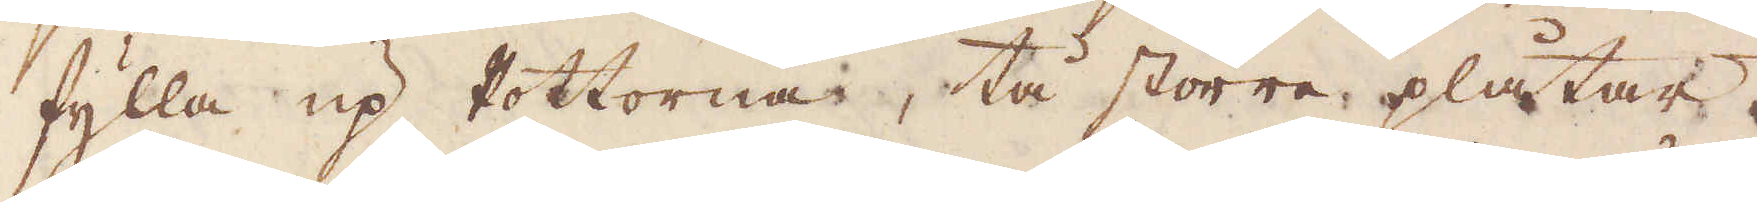fylla up Pottorna, tå större plåtar
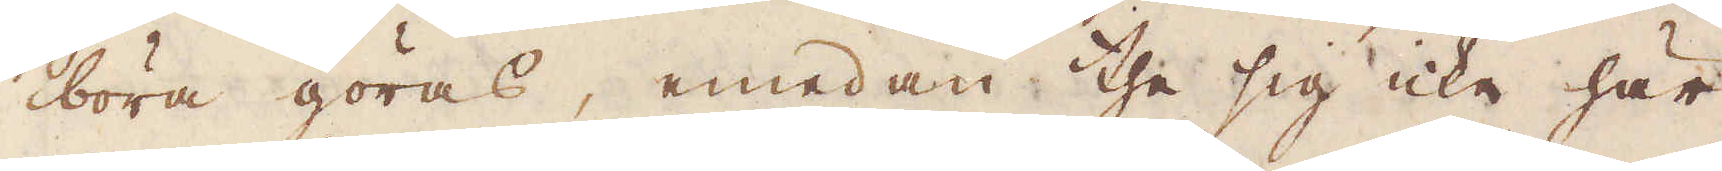böra göras, emedan the sig icke här
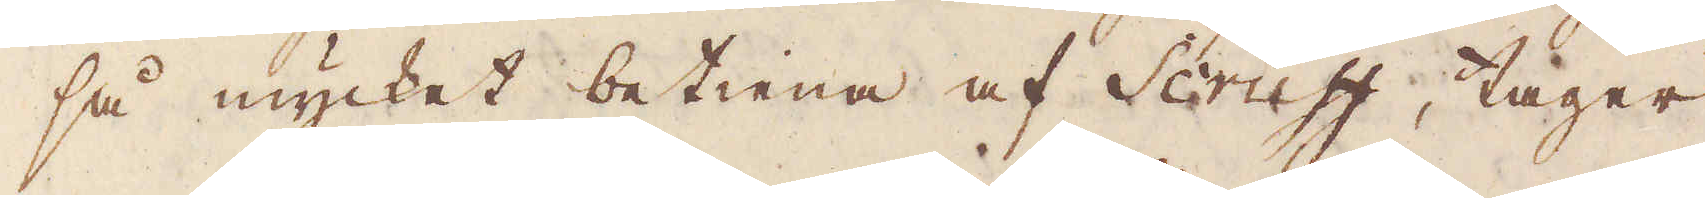så mycket betiena af Scruff, tager
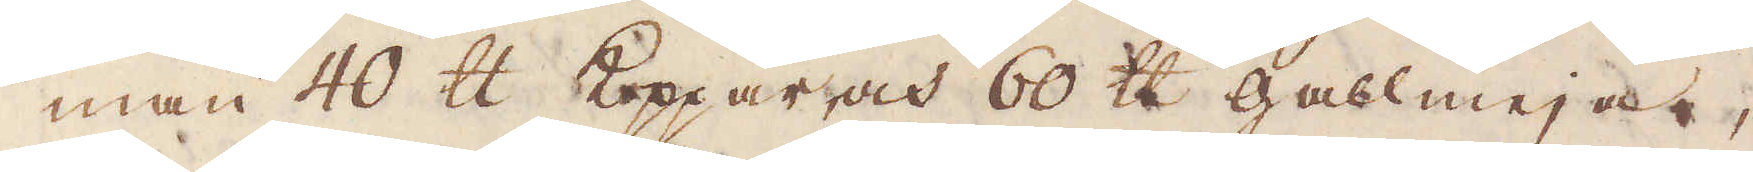man 40 skålpund Koppar och 60 skålpund gallmeja,
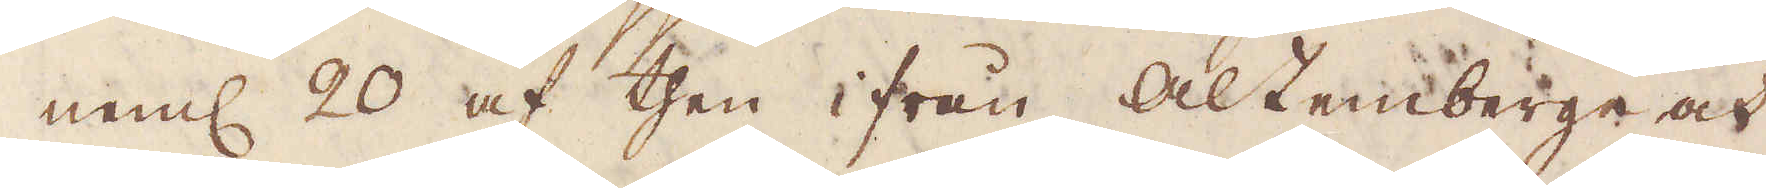neml 20 af then ifrån Altenberge och
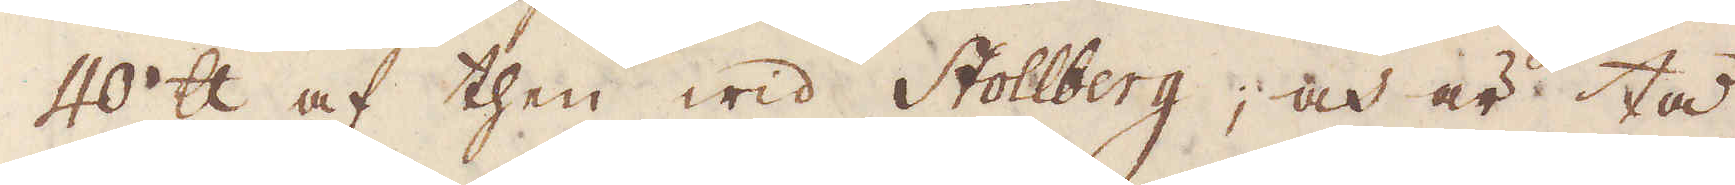40 skålpund af then wid Stollberg, och är tå
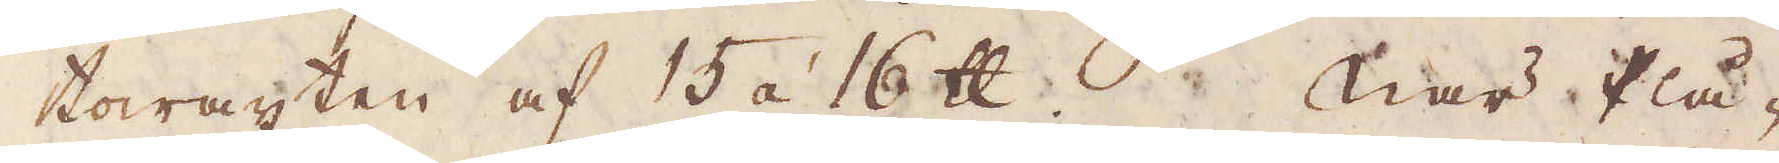towäxten af 15 à 16 skålpund. När Plå-
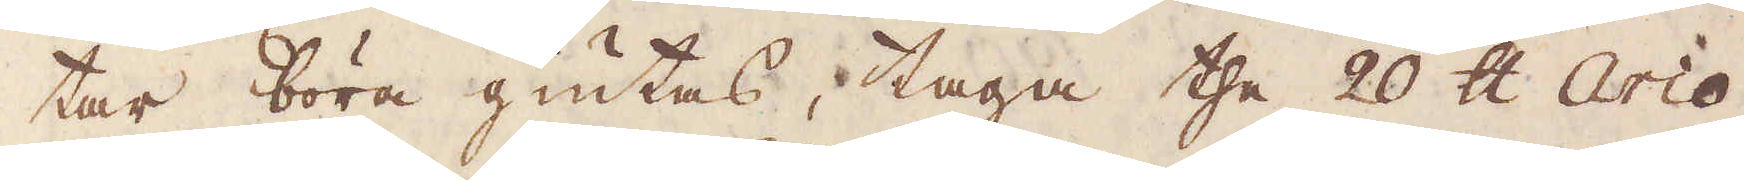tar böra giutas, taga the 20 skålpund Arco,
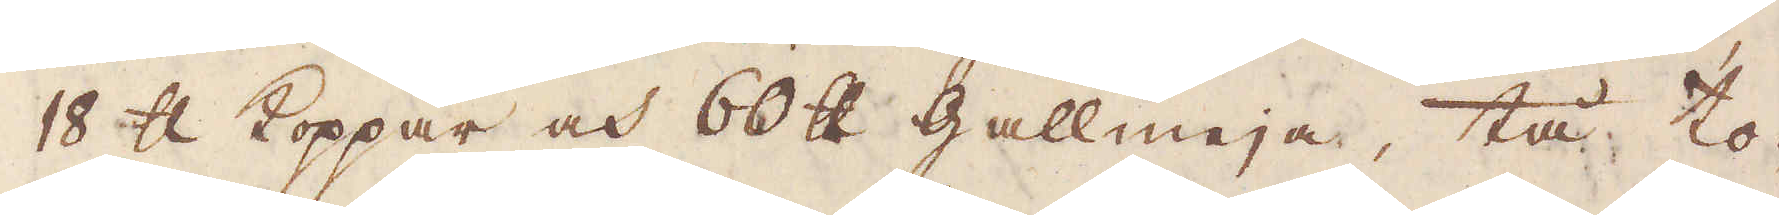18 skålpund Koppar och 60 skålpund gallmeja, tå to-
